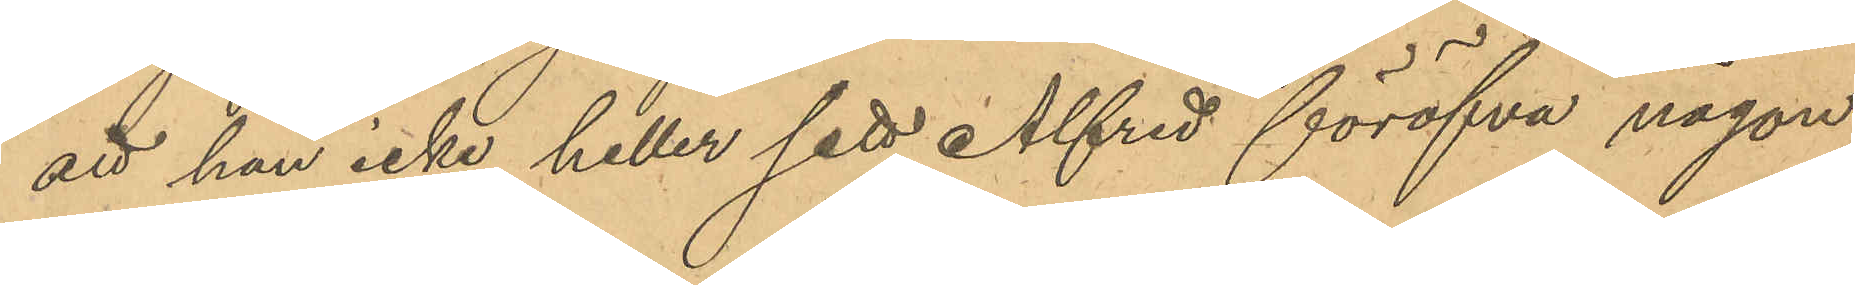att han icke heller sett Alfred föröfva någon
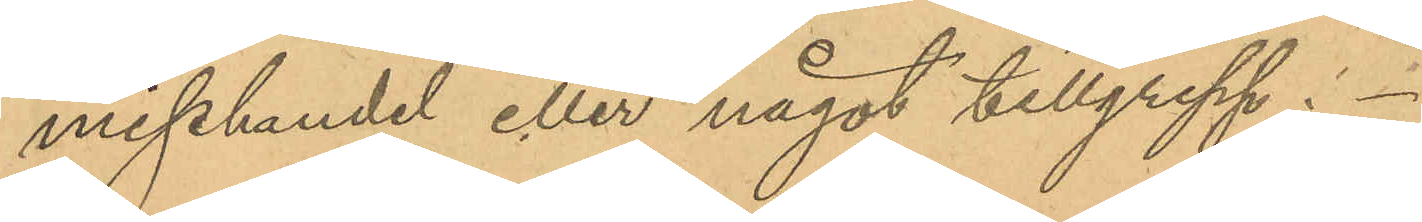misshandel eller något tillgrepp.
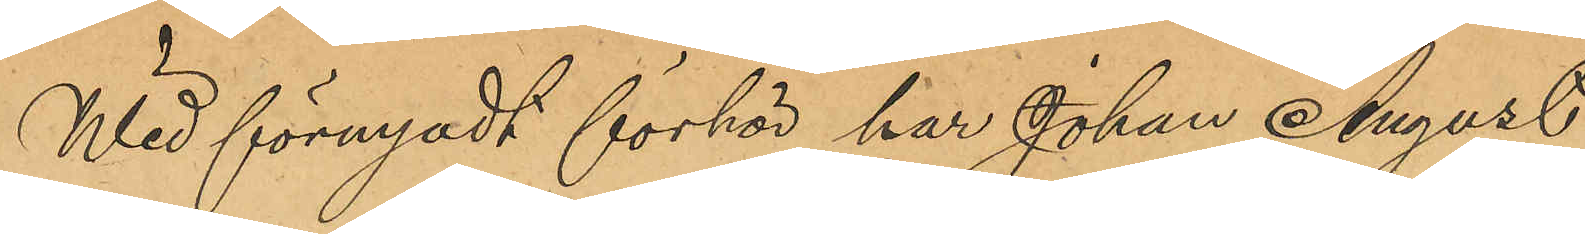Wid förnyadt  förhör har Johan August
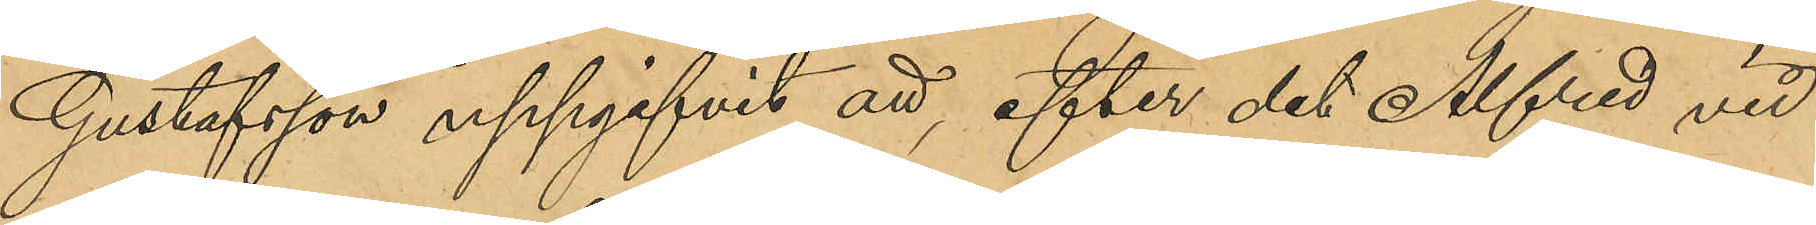Gustafsson uppgifvit att, efter det Alfred vid
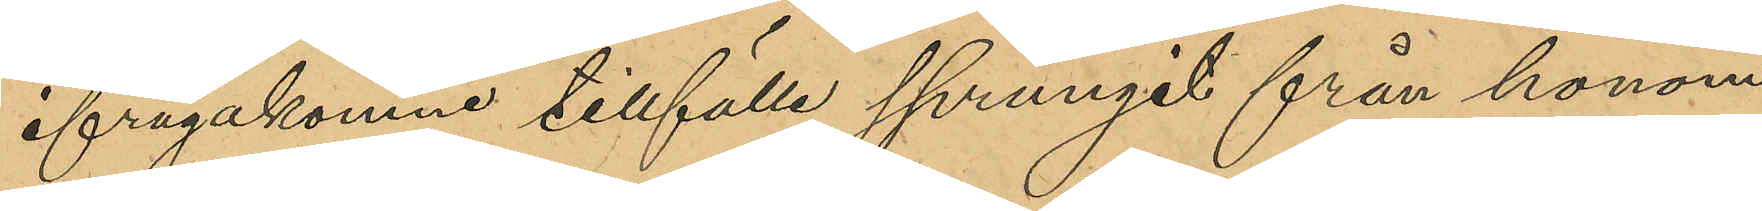ifrågakomne tillfälle sprungit från honom
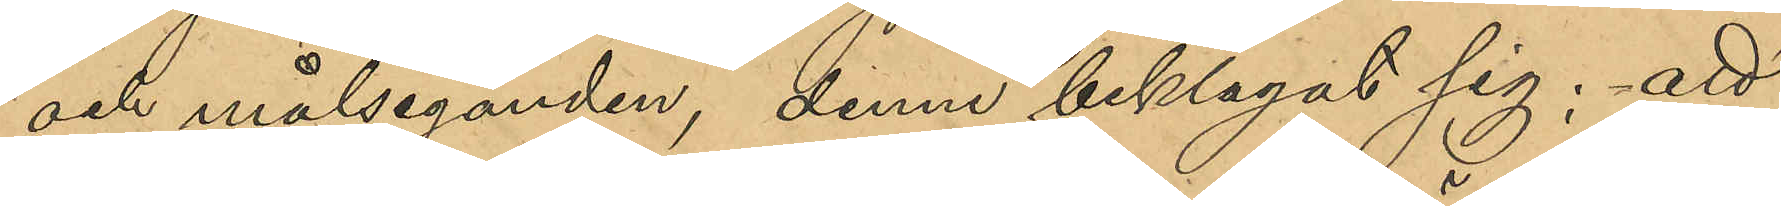och målseganden, denne beklagat sig; att
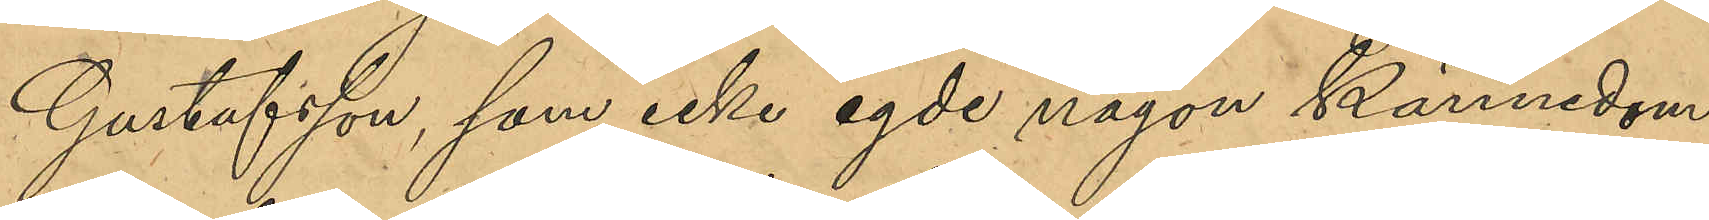Gustafsson, som icke egde någon kännedom
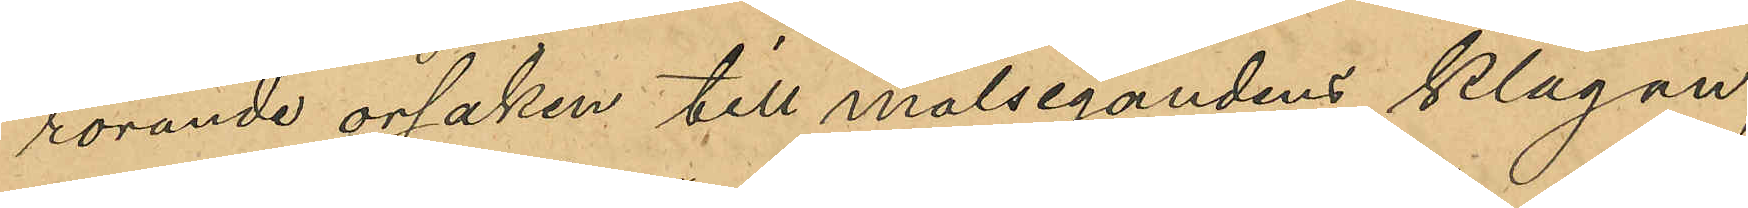rörande orsaken till målsegandens klagan,
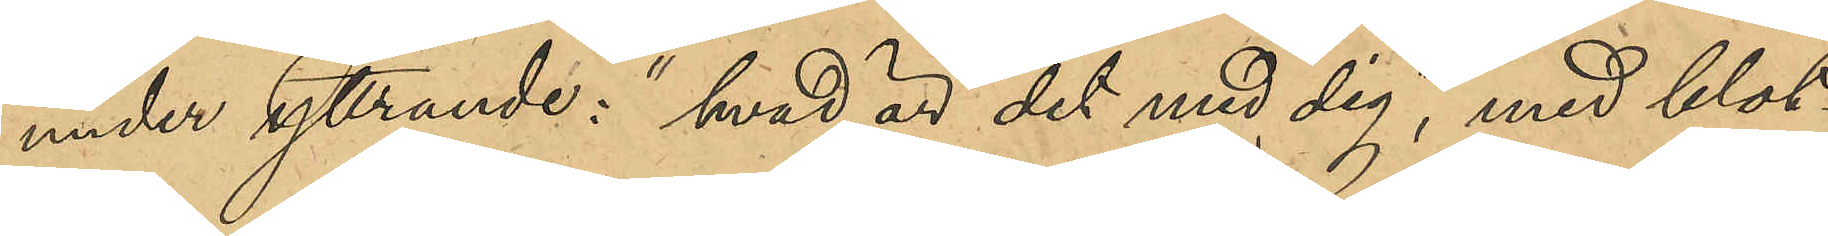under yttrande: "hvad är det med dig", med blot¬
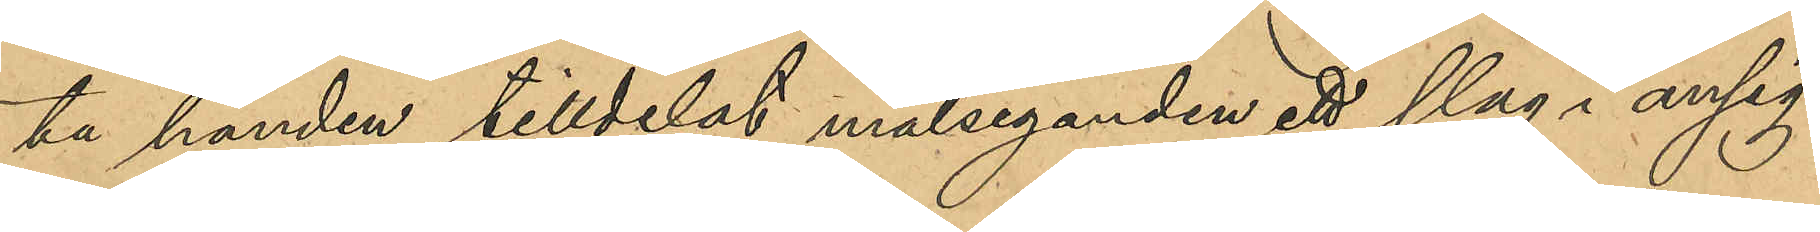ta handen tilldelat målseganden ett slag i ansig¬
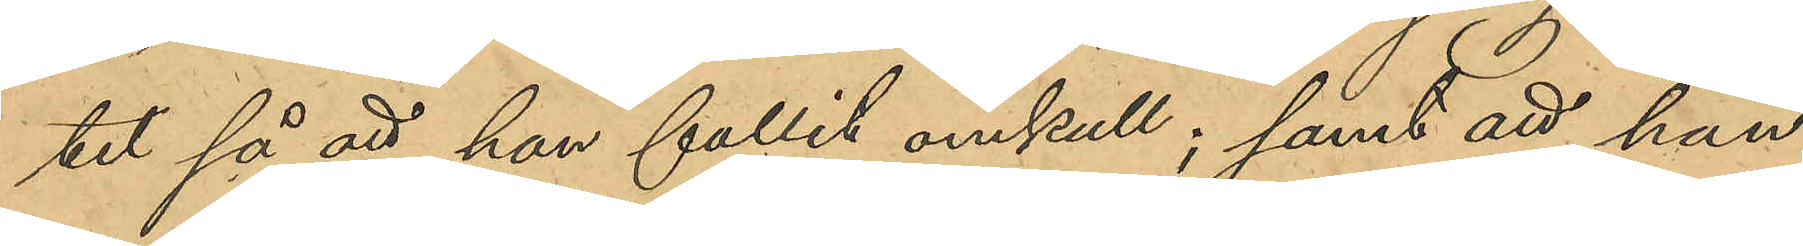tet så att han fallit omkull; samt att han
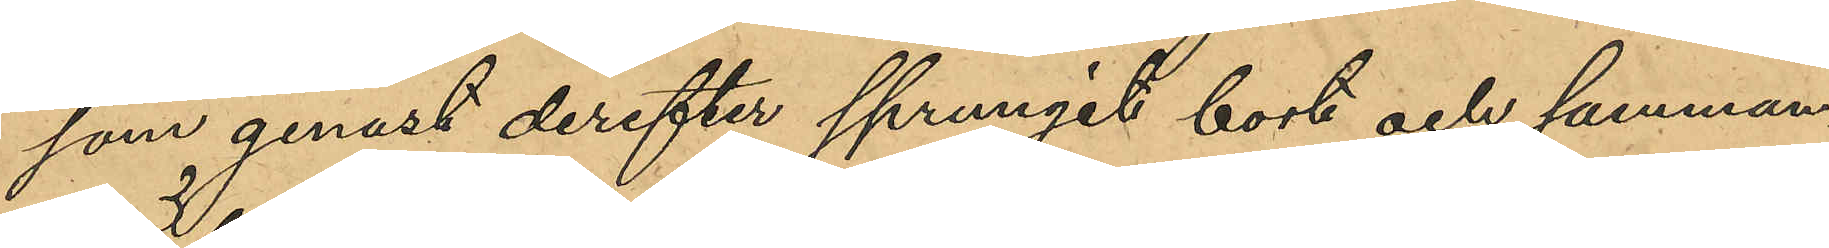som genast derefter sprungit bort och samman¬
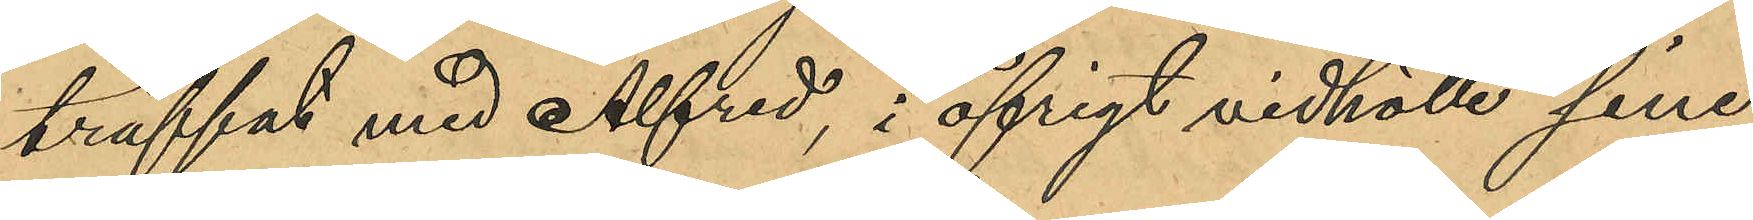träffat med Alfred; i öfrigt vidhölle sina
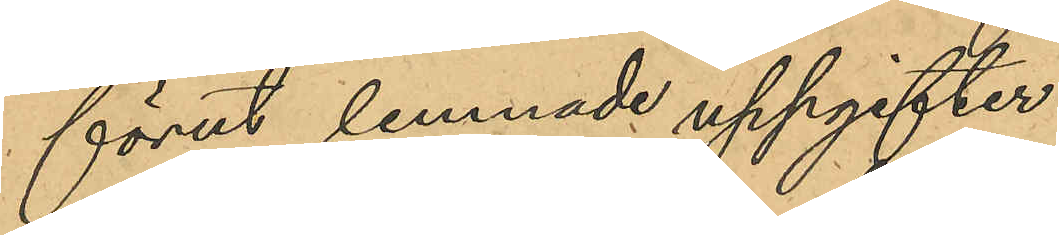förut lemnade uppgifter.
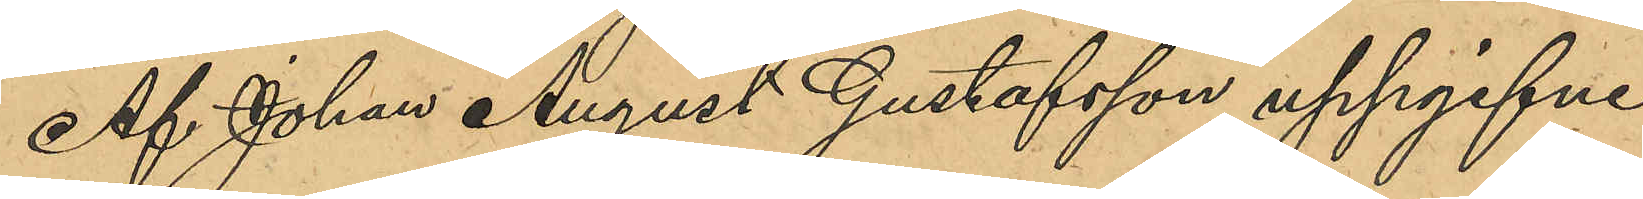Af Johan August Gustafsson uppgifne
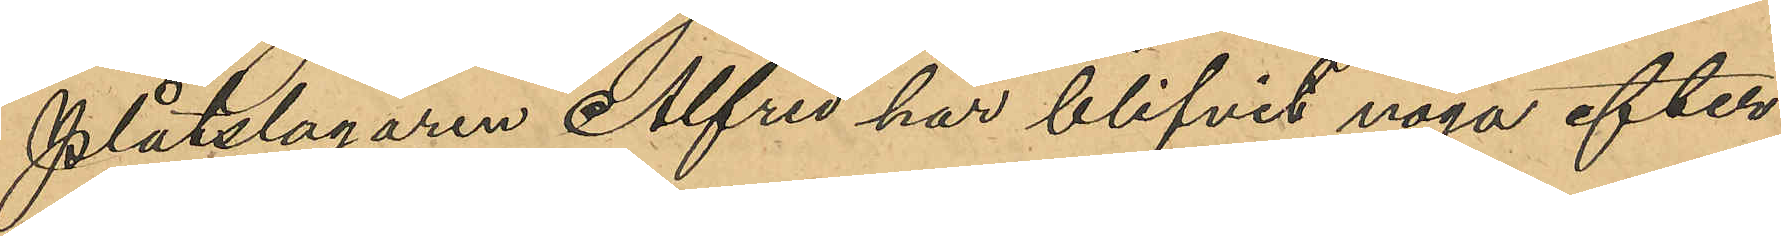plåtslagaren Alfred har blifvit noga efter¬
